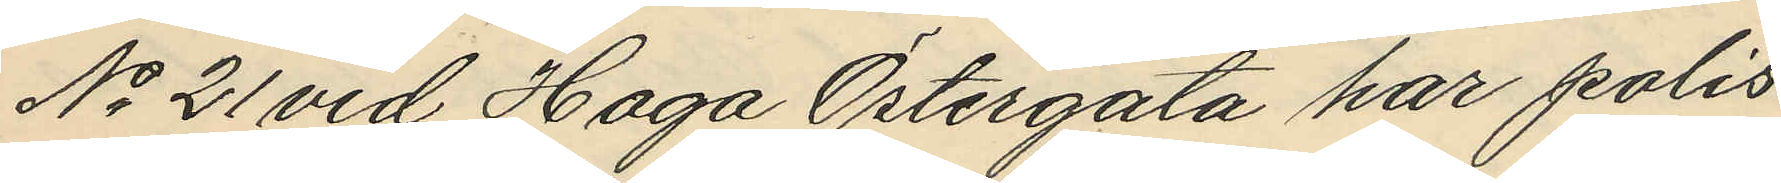No 21 vid Haga Östergata har polis¬
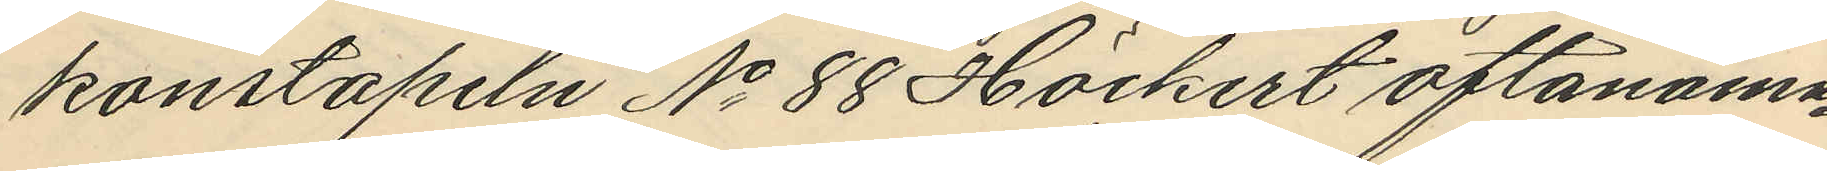konstapeln No 88 Höckert oftanämn¬
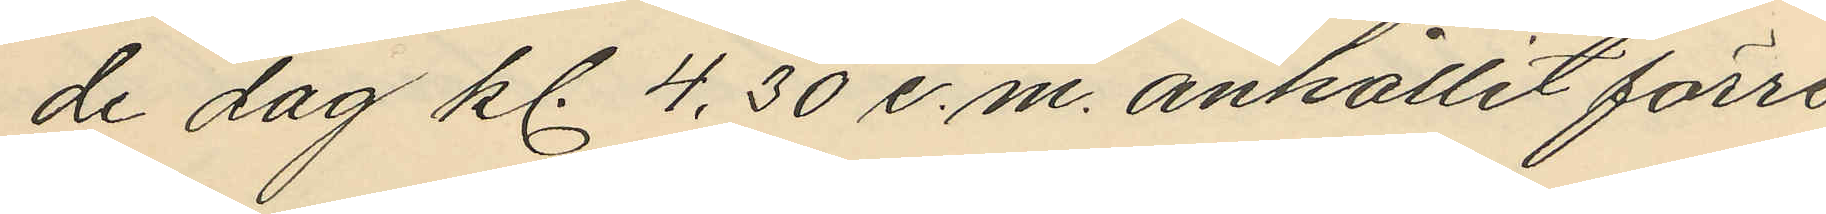de dag kl. 4,30 e.m. anhållit förre
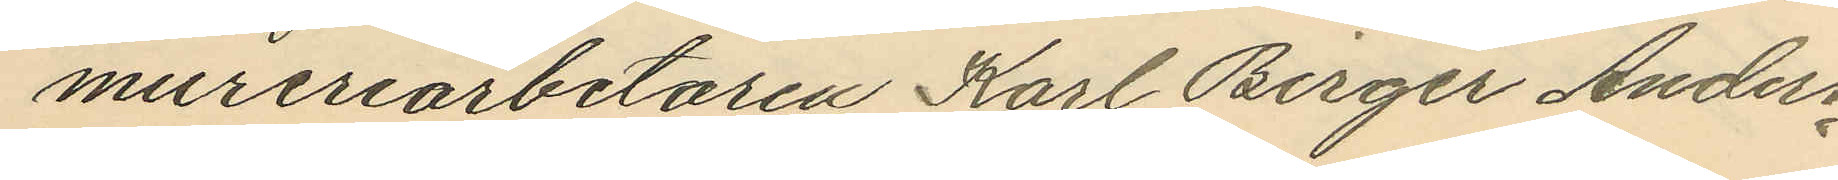mureriarbetaren Karl Birger Anders¬
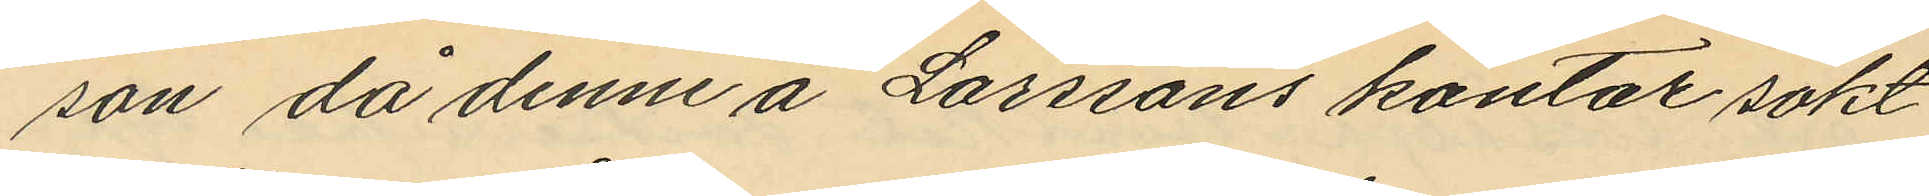son då denne å Larssons kontor sökt
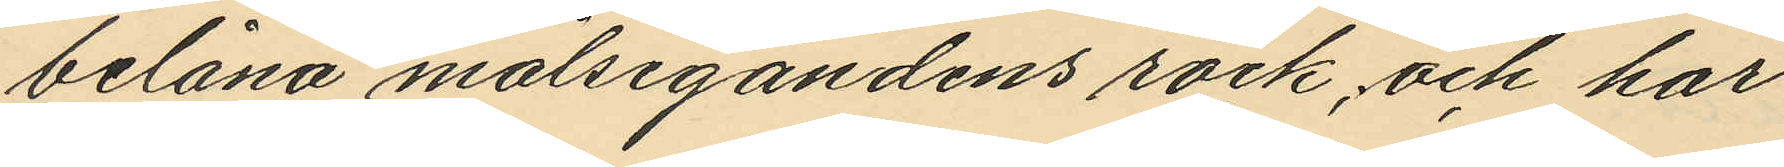belåna målsegandens rock och har
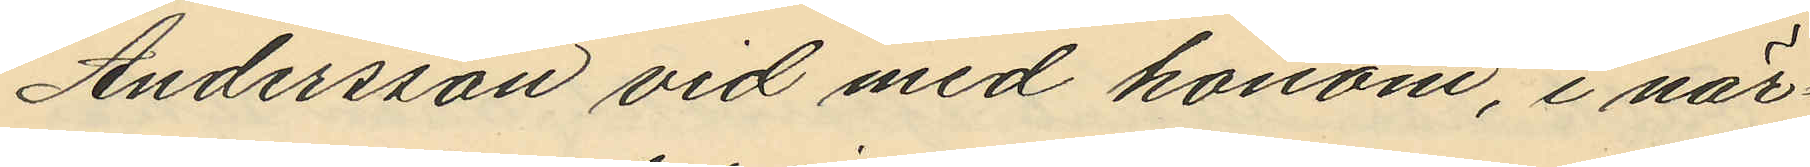Andersson vid med honom, i när¬
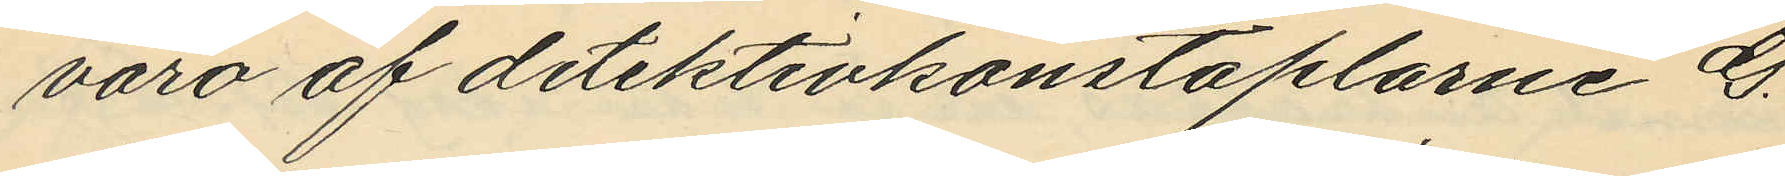varo af detektivkonstaplarne G.
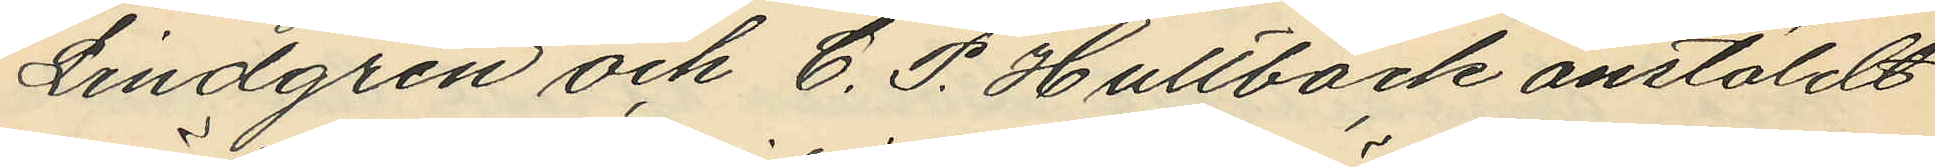Lindgren och C. P. Hultbäck anstäldt
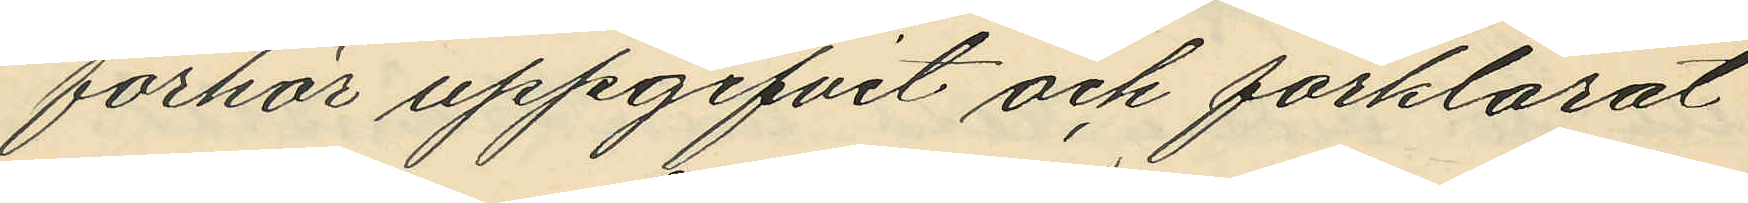förhör uppgifvit och förklarat:
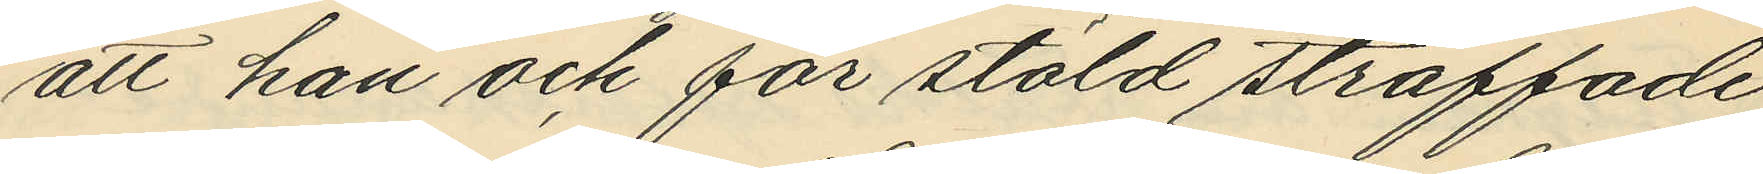att han och för stöld straffade
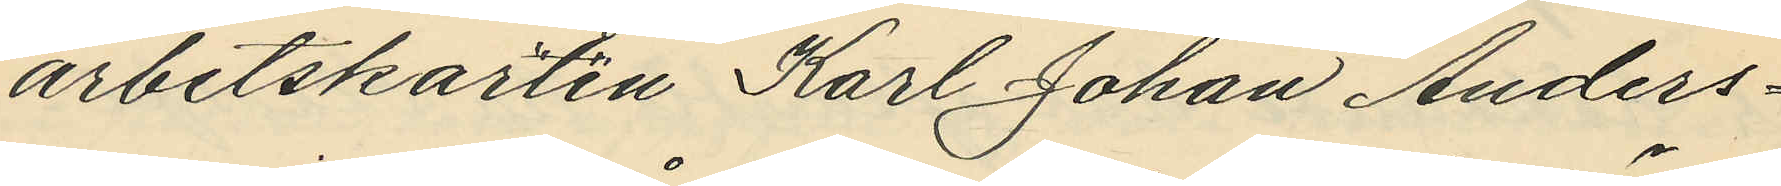arbetskarlen Karl Johan Anders¬
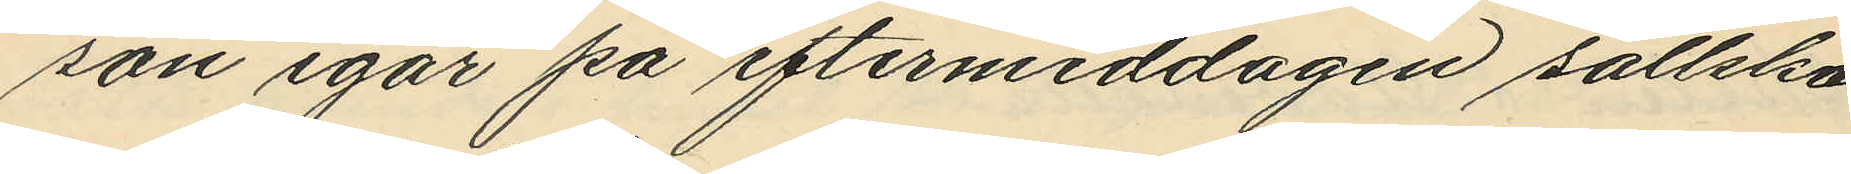son igår på eftermiddagen sällska¬
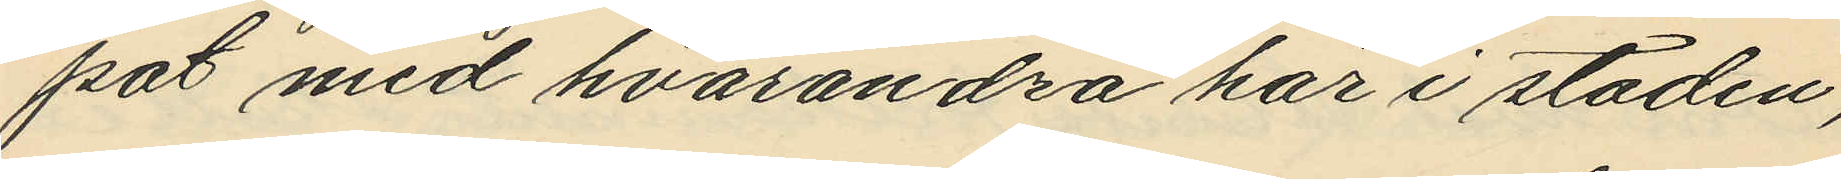pat med hvarandra här i staden,
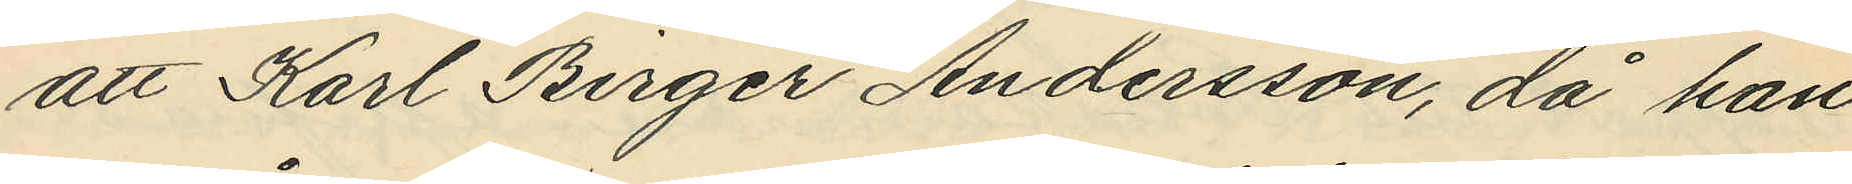att Karl Birger Andersson, då han
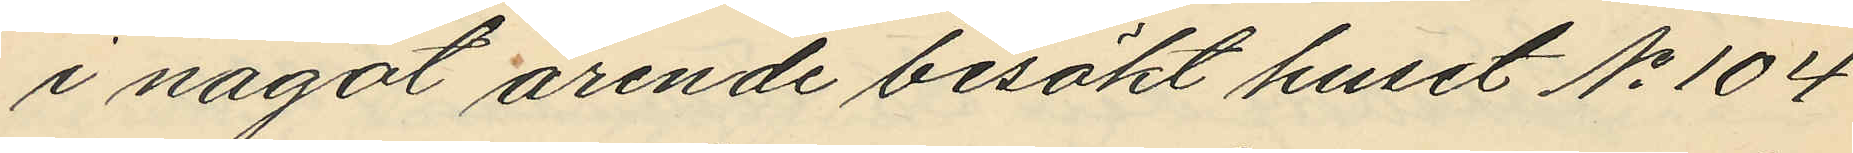i något ärende besökt huset No 104
